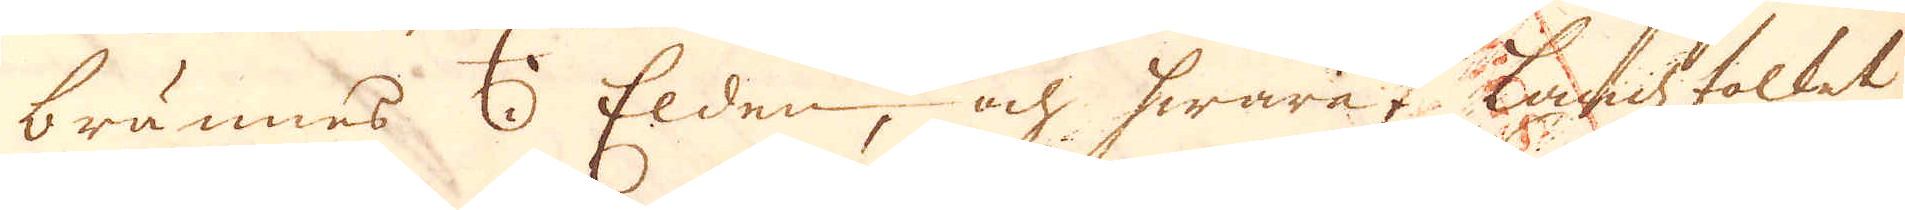brännes i Elden, och hwaraf Landzfolket
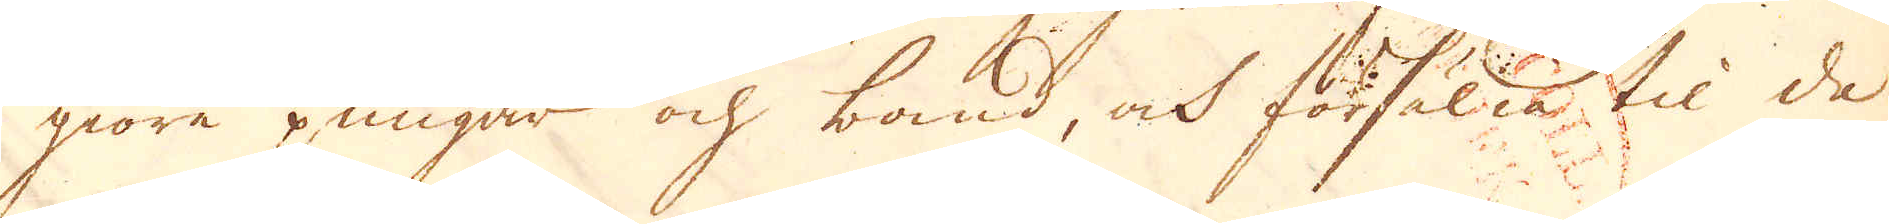giöra pungar och band, och försälia til de
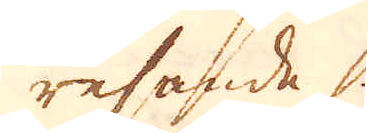resande.
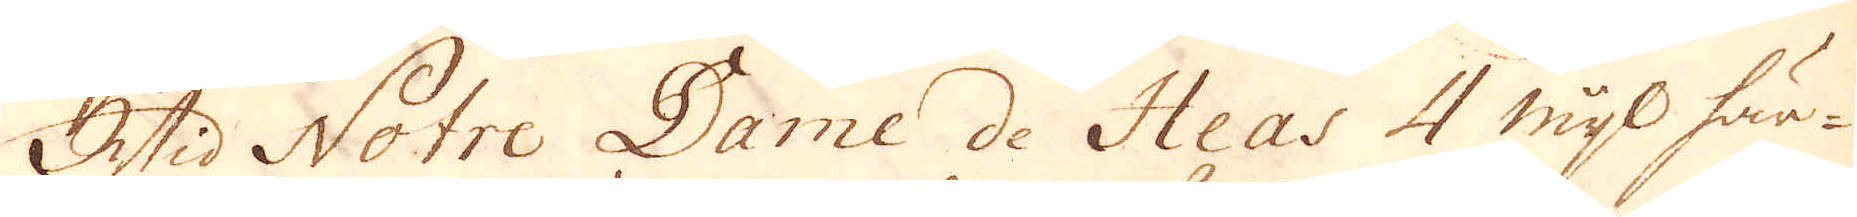Wid Notre Dame de Heas 4 mijl här-
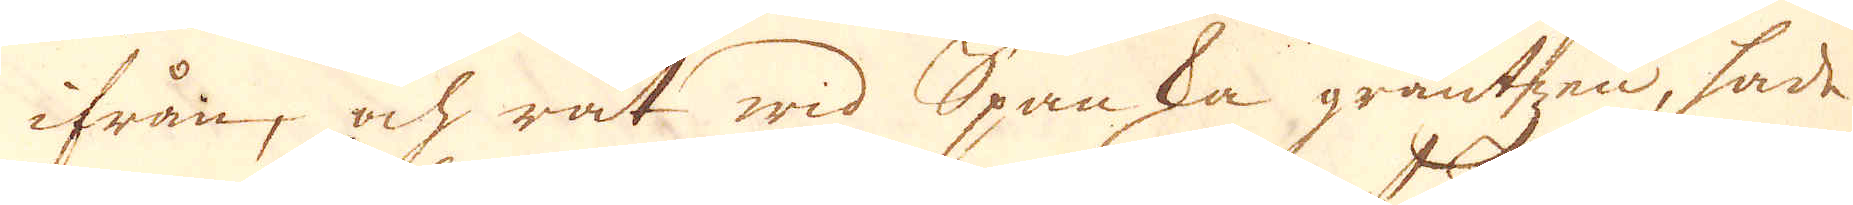ifrån, och rät wid Spanska gräntzen, hade
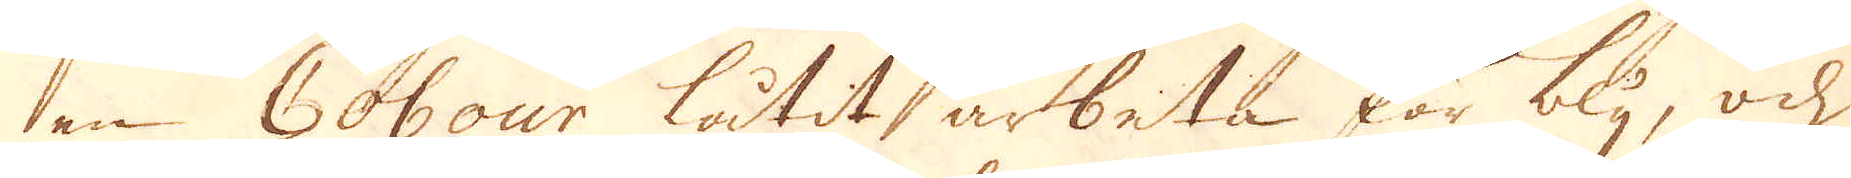en Cobour låtit arbeta för bly, och
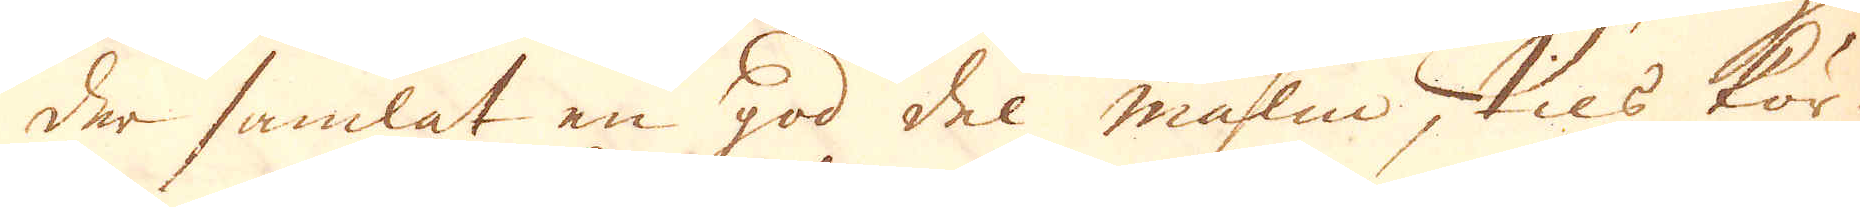der samlat en god del malm tils kör-
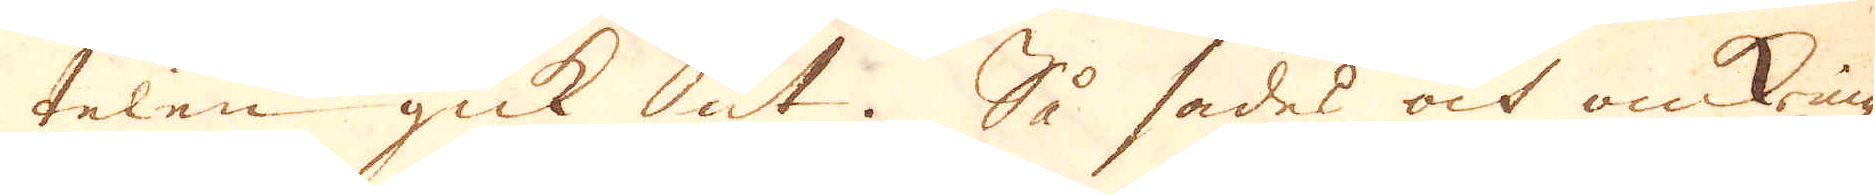telen gick ut. Så sades och omkring
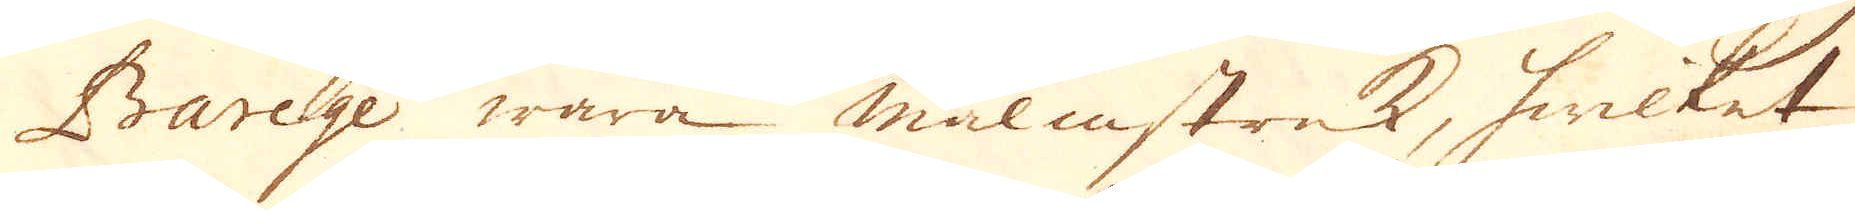Barege wara malmstrek, hwilket
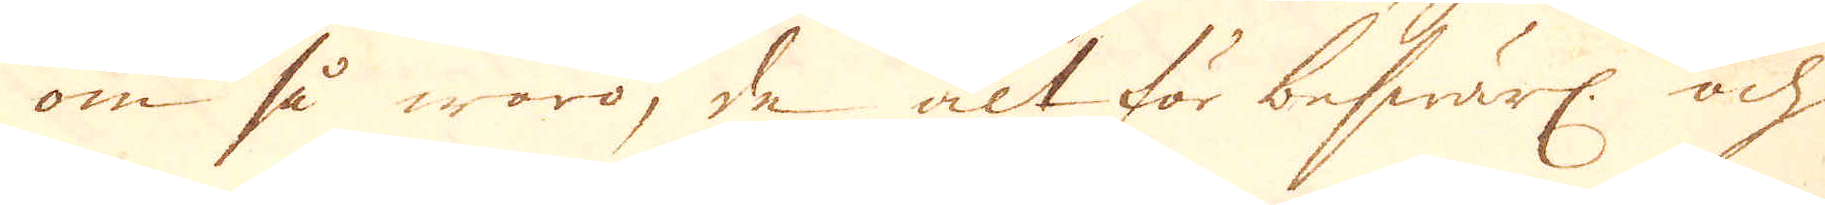om så waro, de alt för beswärl. och
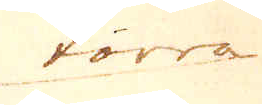torra
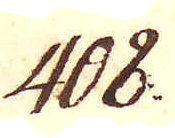408.
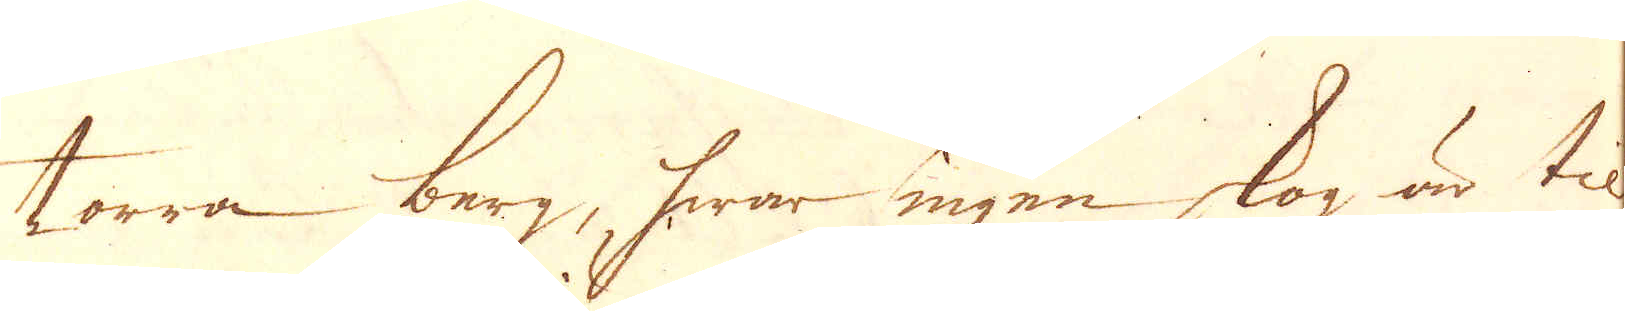torra berg, hwar ingen skog, är til
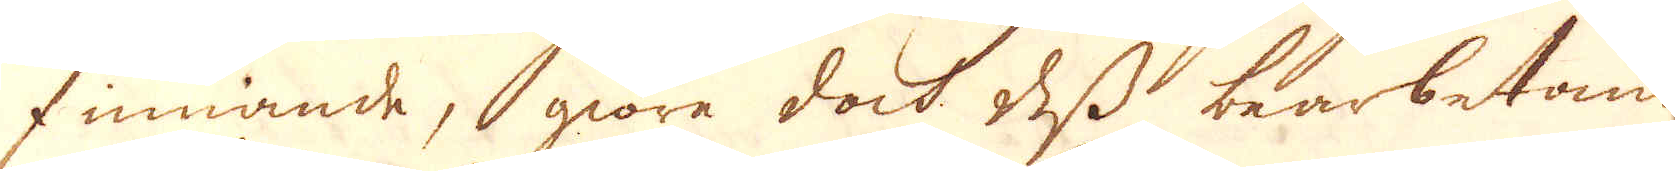finnande, giöra dock des bearbetande
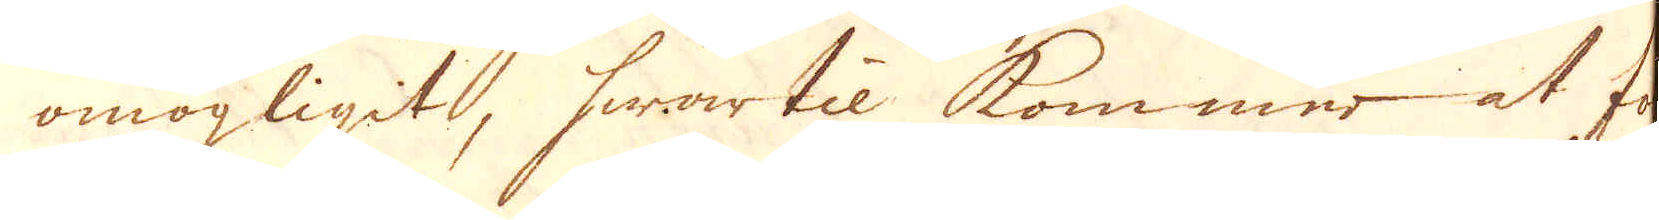omögligit, hwartil kommer at fol-
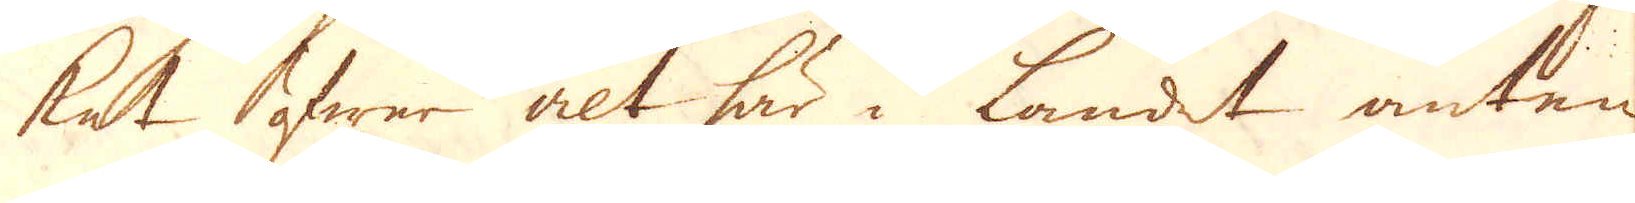ket öfwer alt här i landet anten
